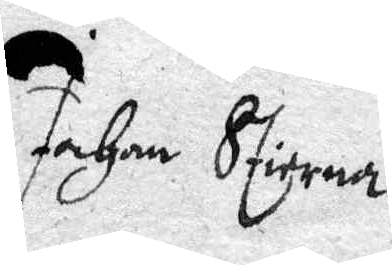Johan Stierna
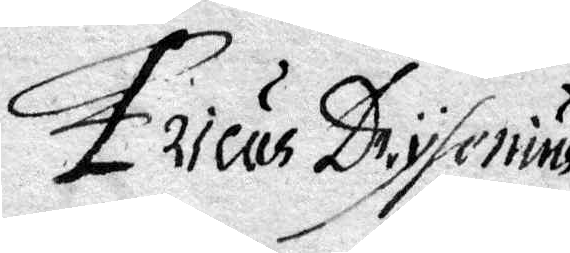Ericus Drysenius
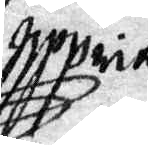nppria
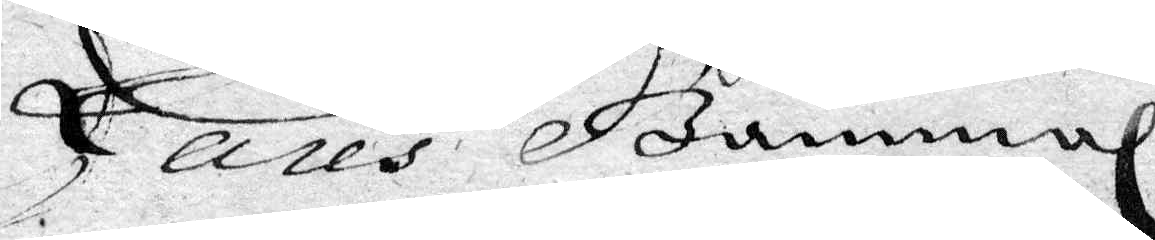Lares Gammal
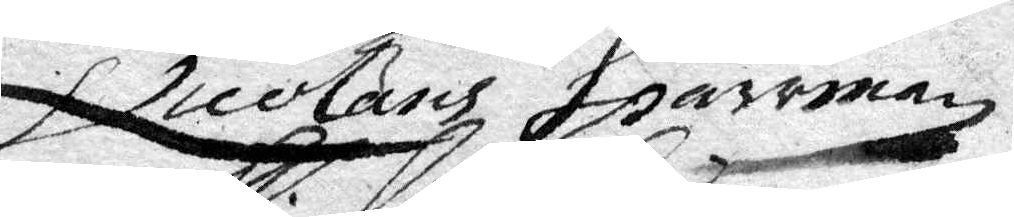Nicolaus Sparrman
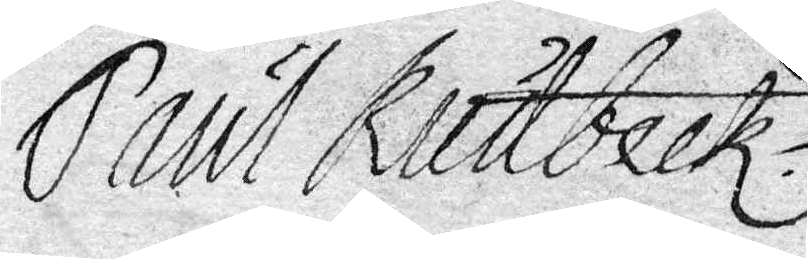Paul Rudbeck
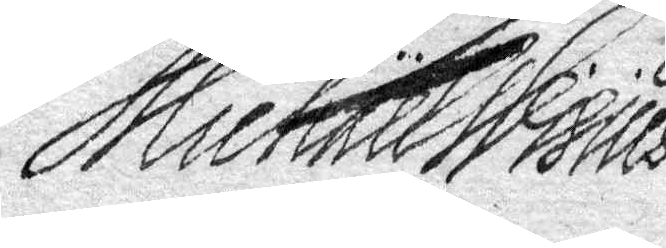Michael Wihius
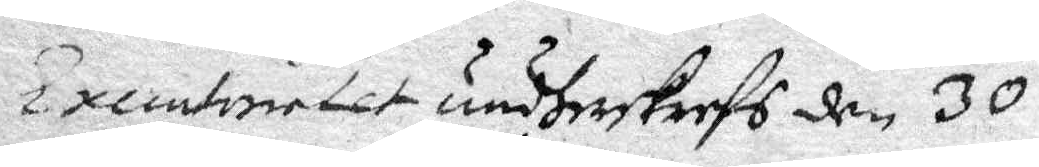Executoirtet undherskrefs den 30
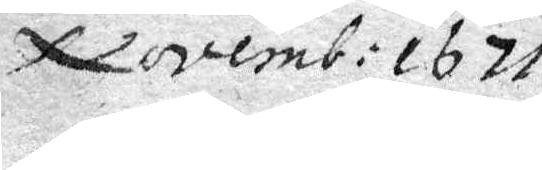Novemb: 1671
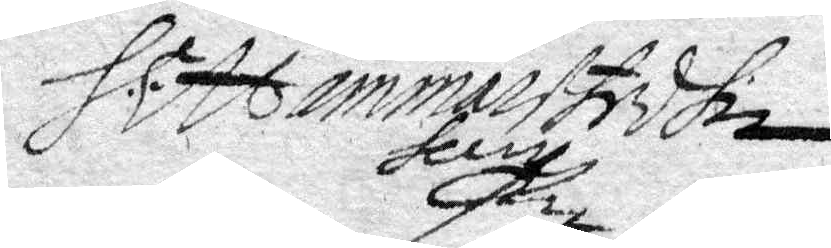H.h.l. Hammarstedhn
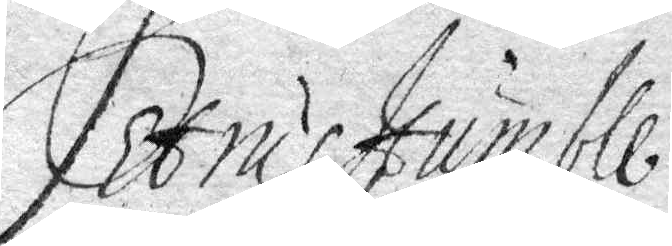Petrus Humble
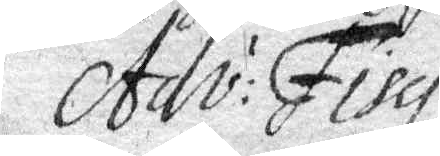Adv: Fisci.
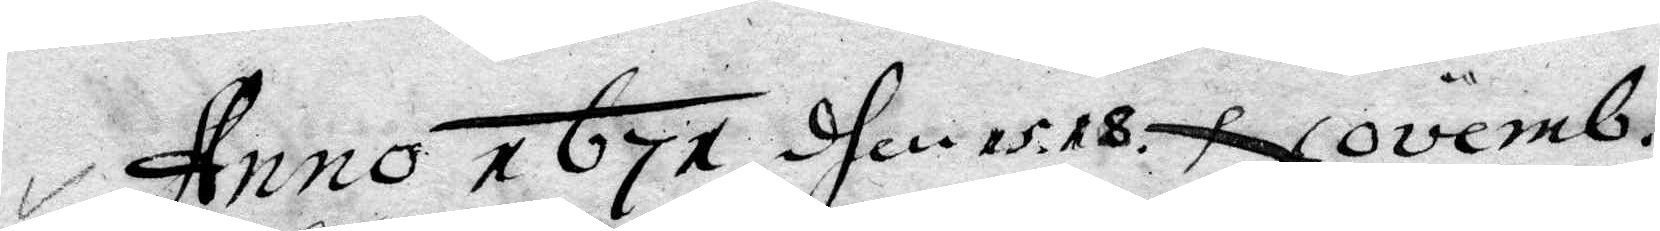Anno 1671 dhen 15. 18. Novemb.
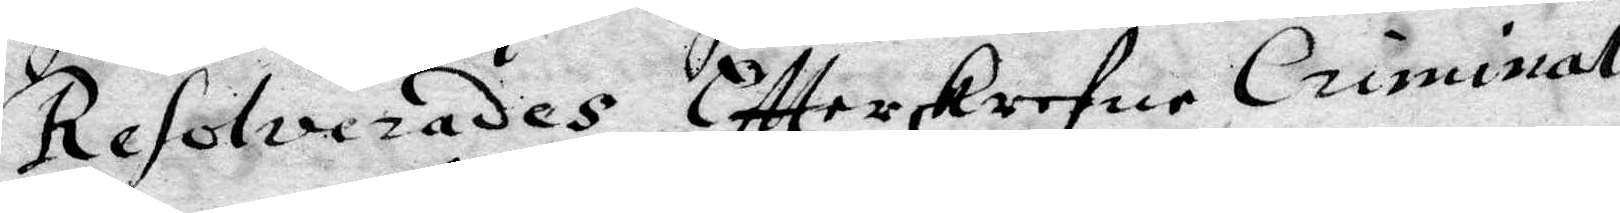resolverades Eftterskrefne Criminal
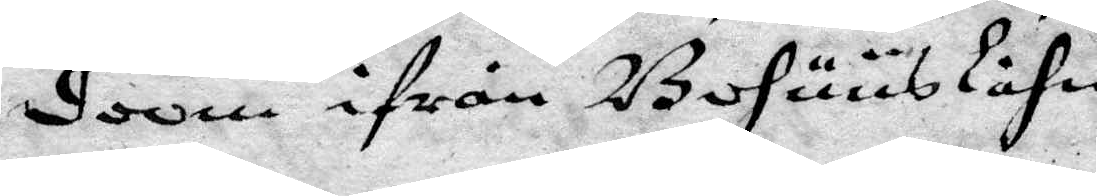doom ifrån Bohuuslähn
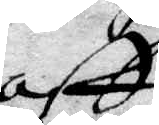aff
